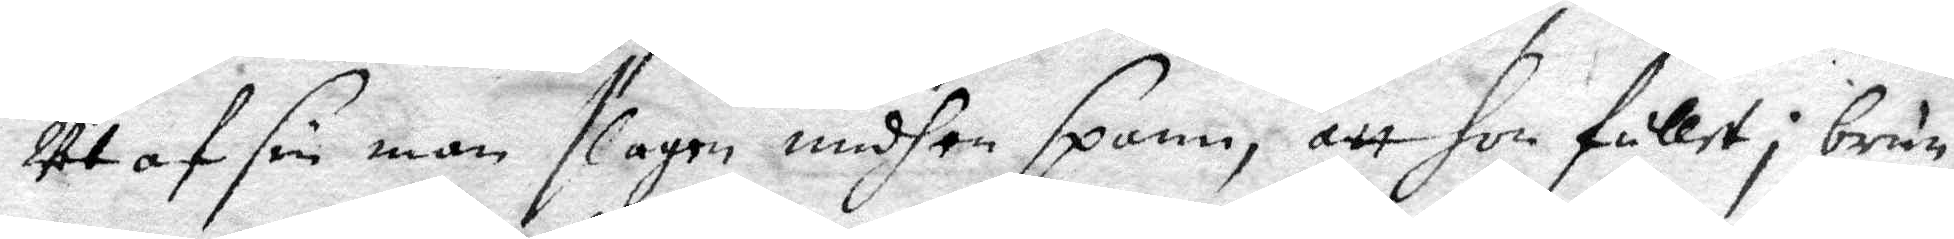utaf sin man slagen medh en spann, att hon fallet i brun¬
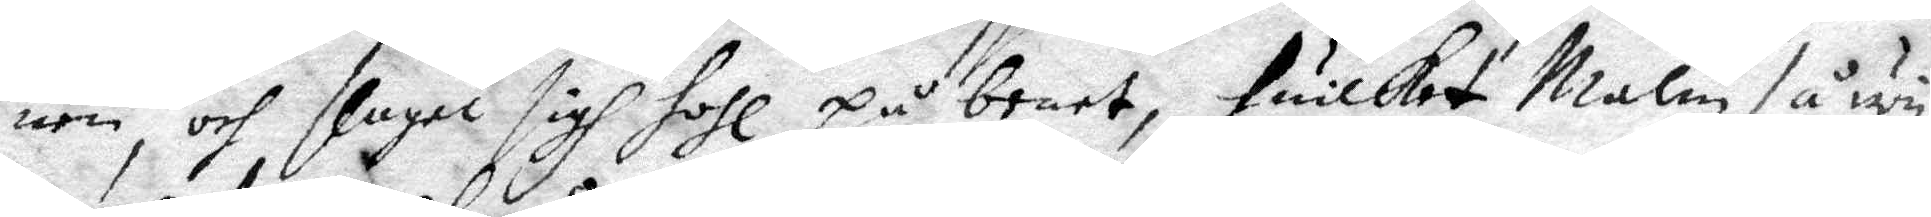nen, och slagett sigh holh på benet, huilket Malin så wy¬
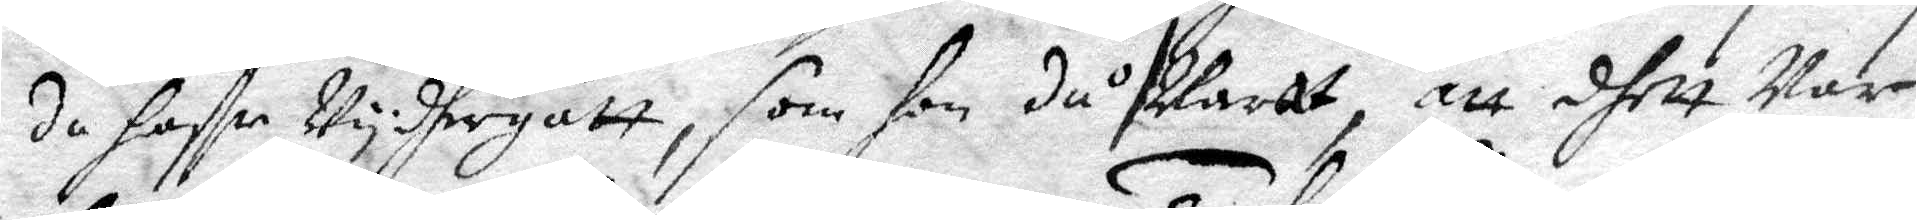da haffr Vydhegått, som hon då svarat, att dhett var
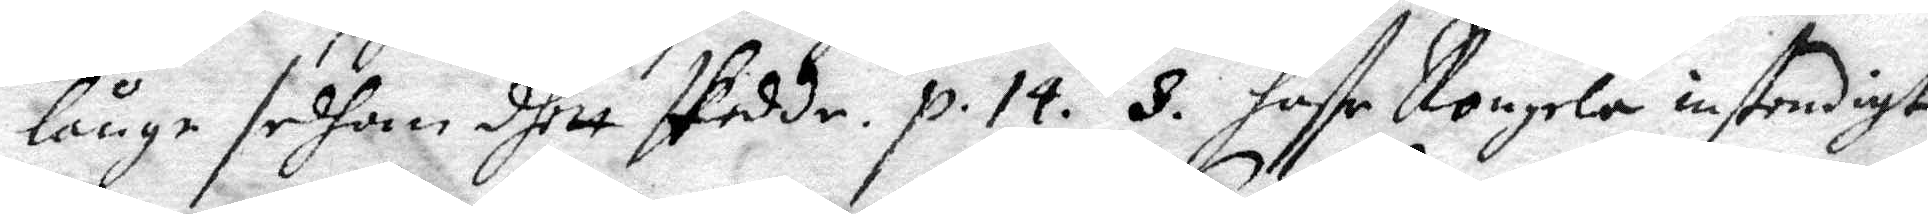långe sedhan dhett skedde. p. 14. 3. haffr Rangela instendigt
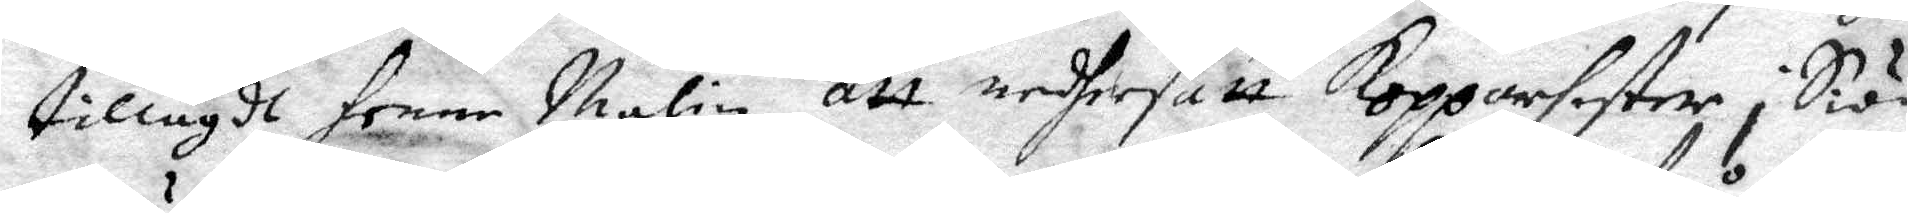tillagdt henne malin att nedhersatt kopparfaster i Siön
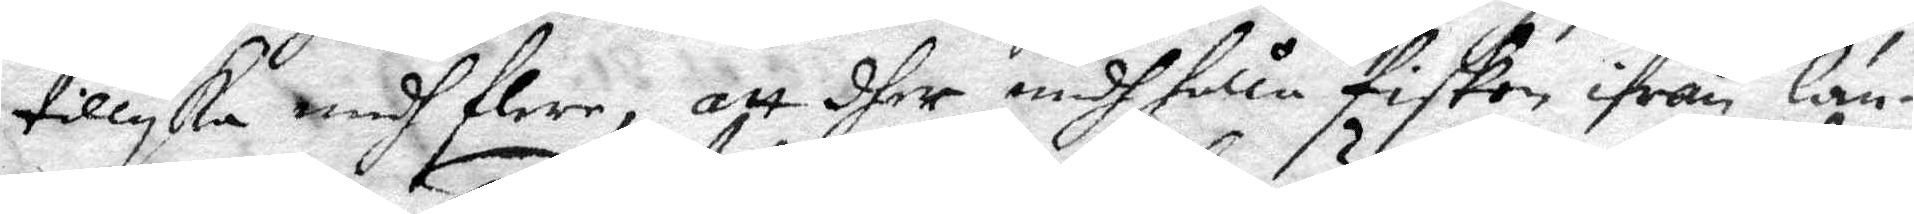tillyka medh flere, att dher undh hålla fisken ifrån län¬
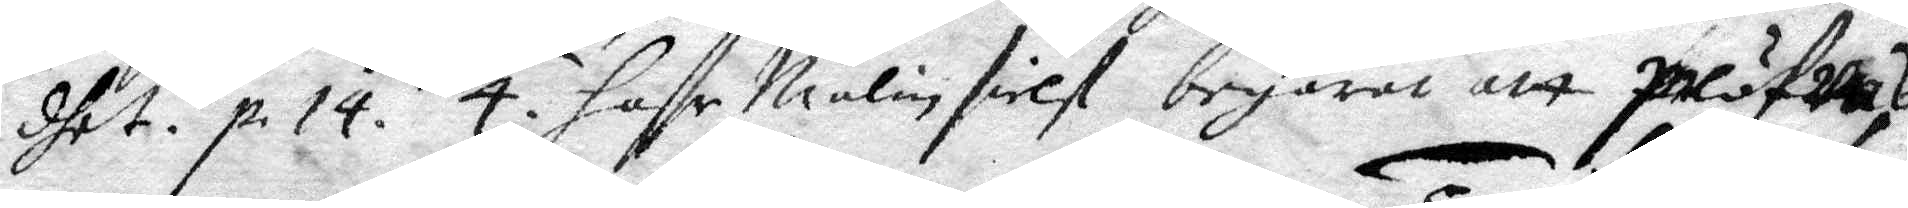dhet. p 14. 4. haffr Malin sielf begärat att pröfwas
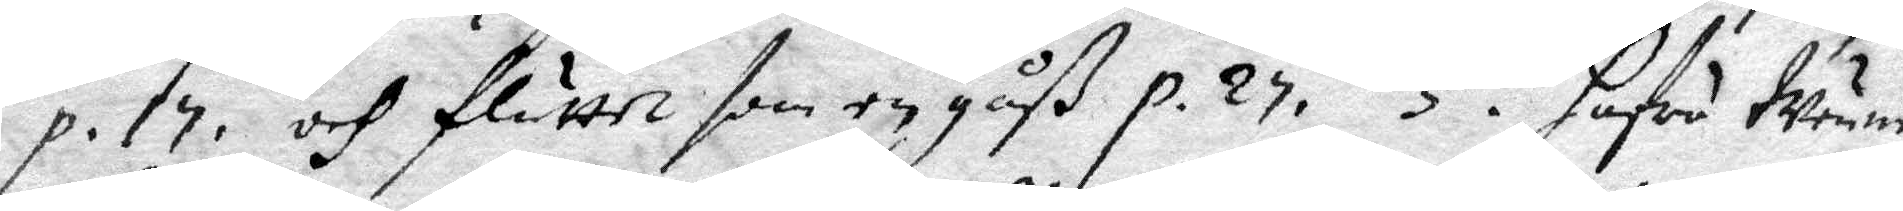p. 17. och fluttet som en gåß p 27. 5. Hafua Meune
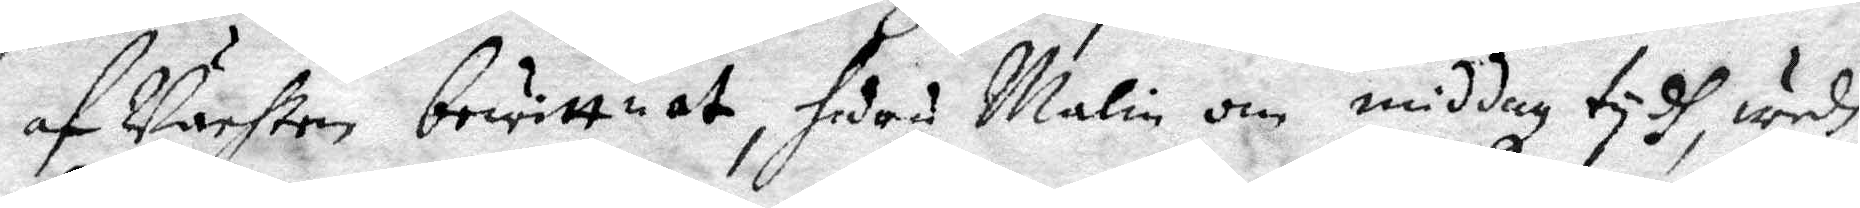af Vachten berättat, sedan Malin om middag tydh, wedh
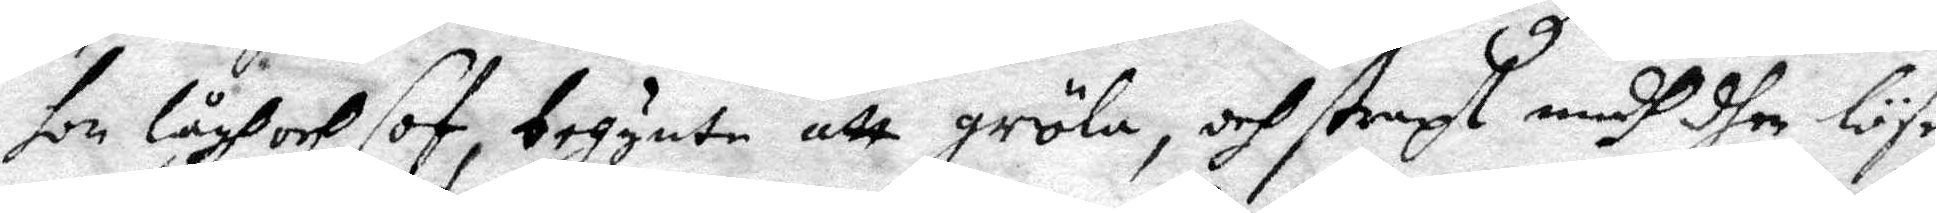hon lågh och sof, begynte att gröla, och straxt medh dhen löse
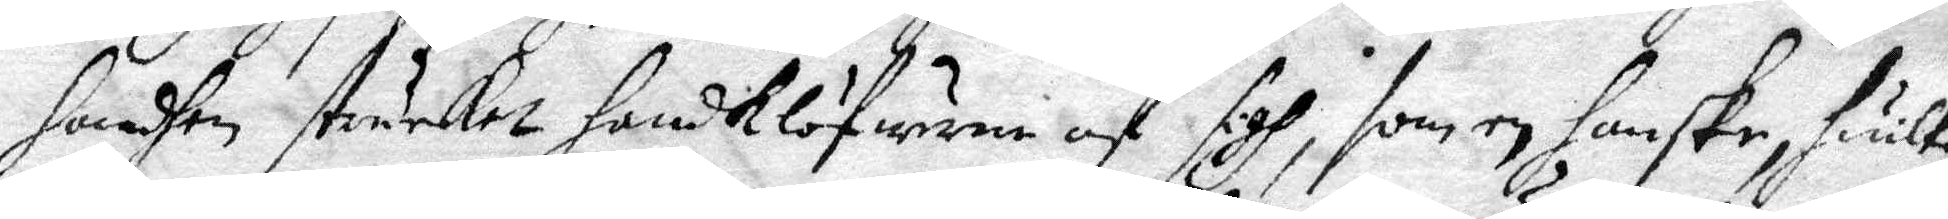handhen sträcktet handklöfwarne af sigh, som en handske, huilken
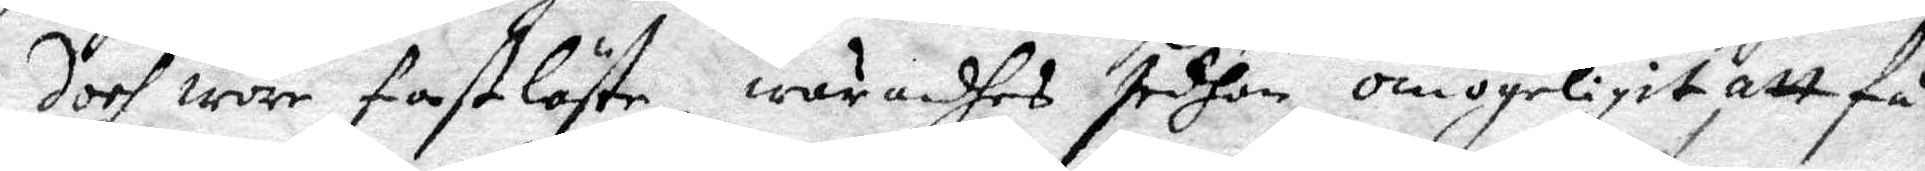doch wore fastlåste, warandhes sedhan omögeligit att få
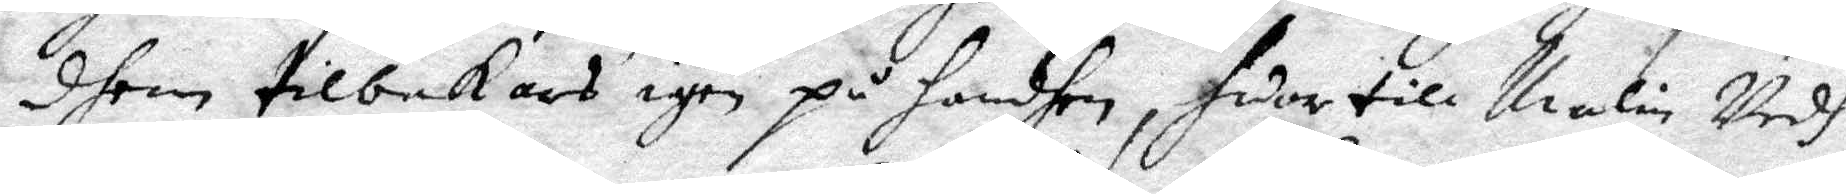dhem tilbakars igen på handhen, hwar till Malin Vedh
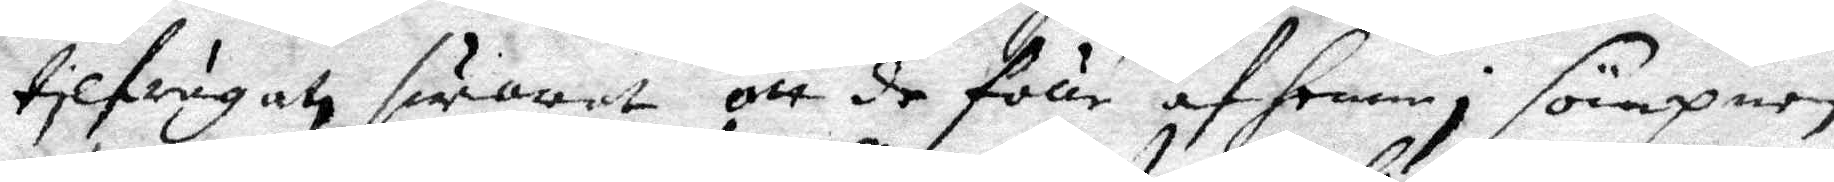tilfrågat swaradt att de fölle af henne i sömpnen,
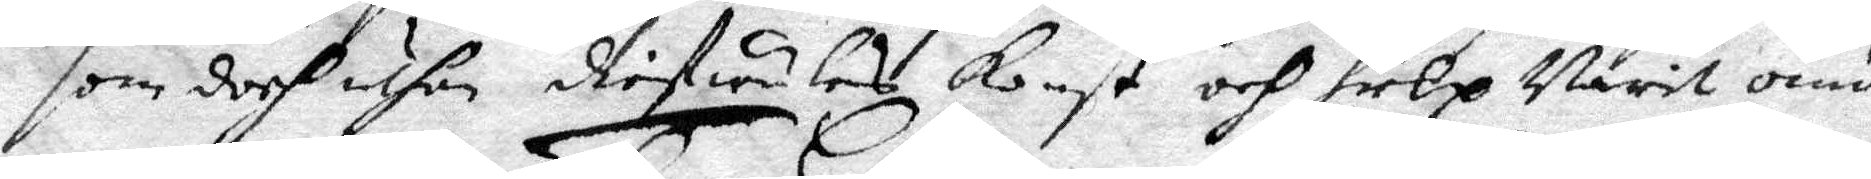som doch uthan dhifulens konst och hielp warit omö¬
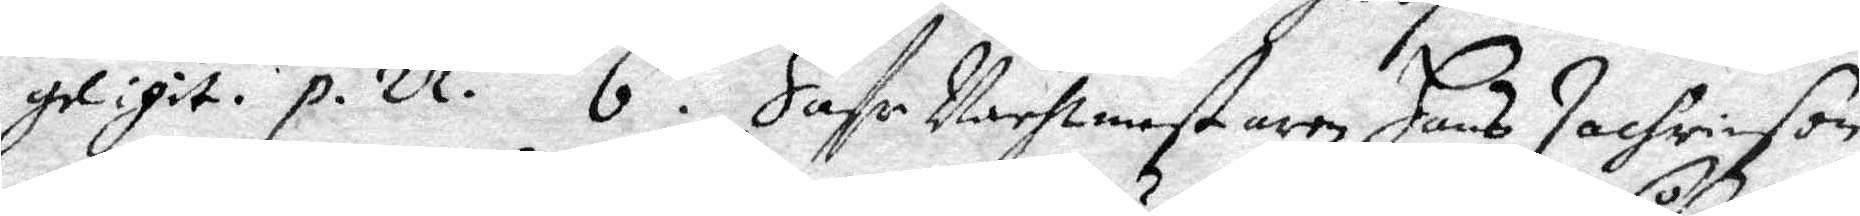geligit. p. 21. 6. haffr vachtmestaren Hans Zachrison
